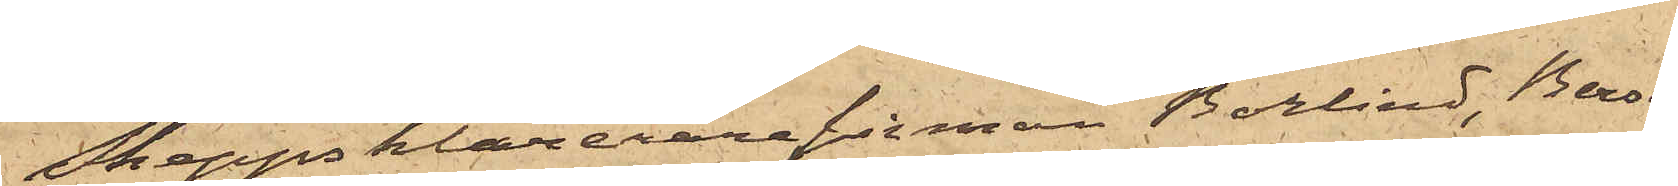Skeppsklarerarefirman Borlind, Borsén
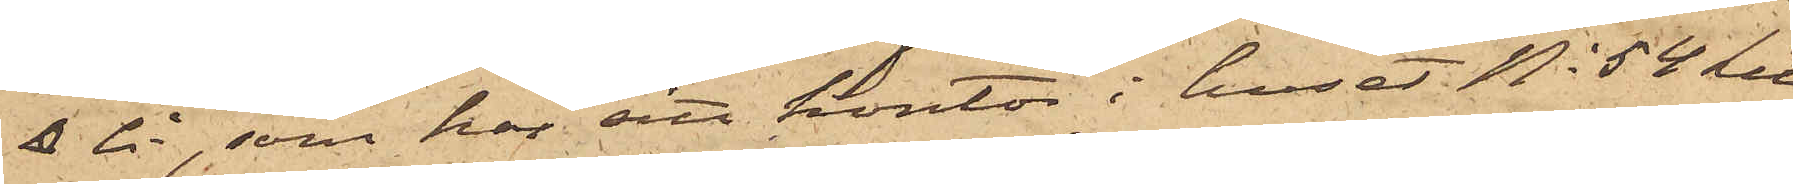& Co, som har sitt kontor i huset No 54 Litt
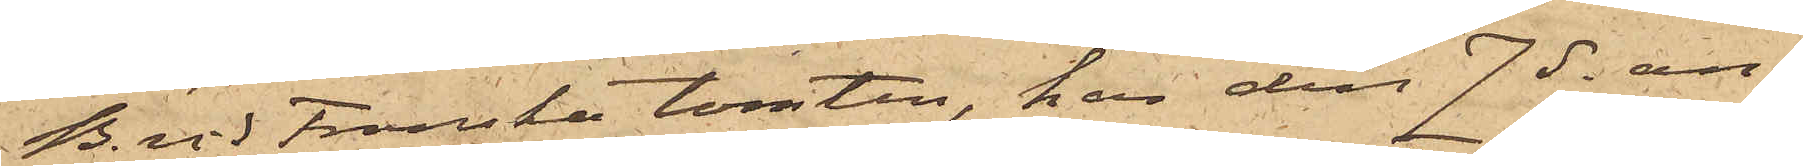B. vid Franska tomten, har den 7 ds an¬
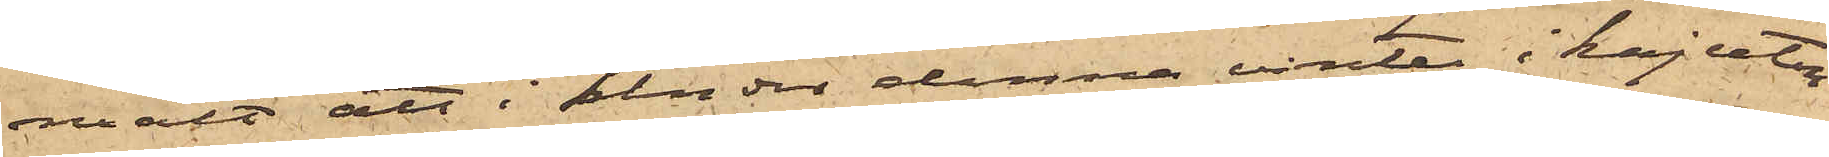mält att: under denna vinter i kajutan
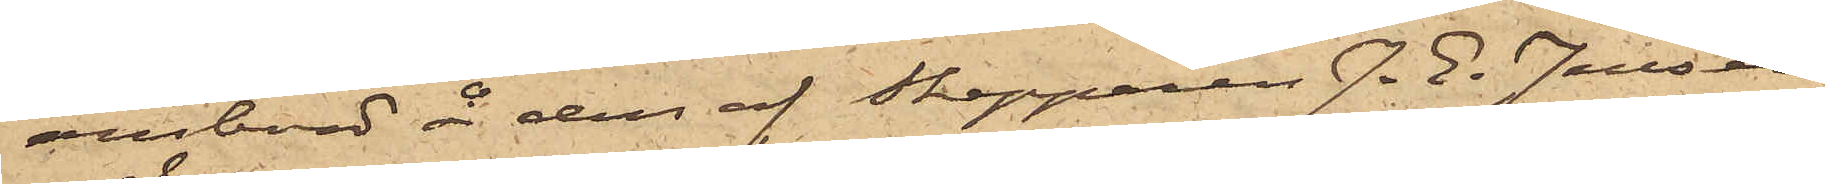ombord å den af Skepparen J. E. Jansson
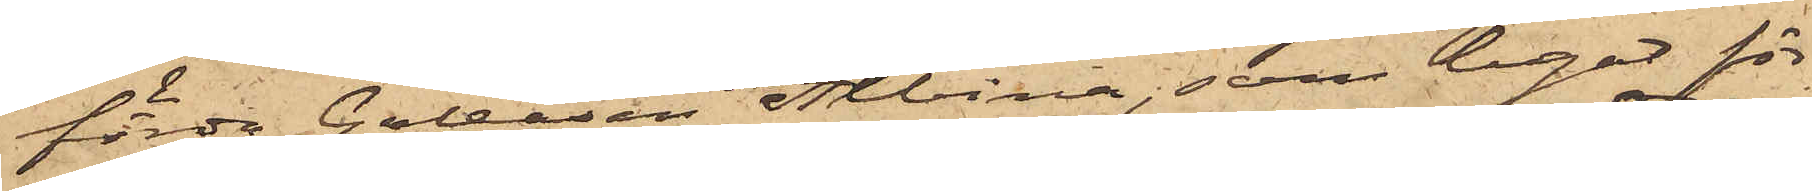förda Galeasen Albina, som legat för¬
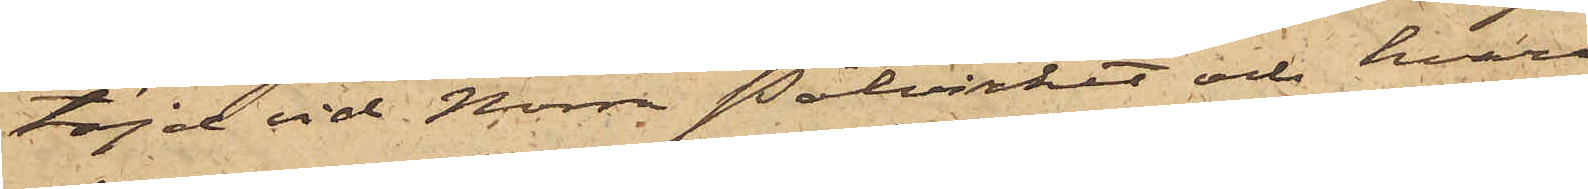töjd vid Norra Pålverket och hvar¬
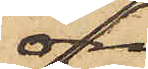om
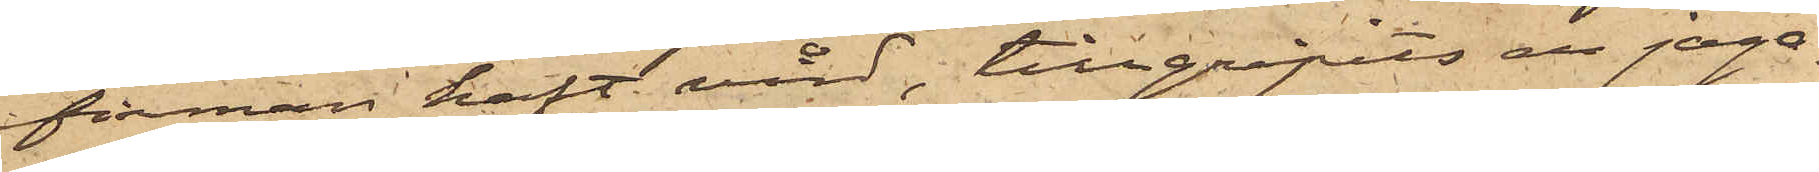firman haft vård, tillgripits en jaga¬
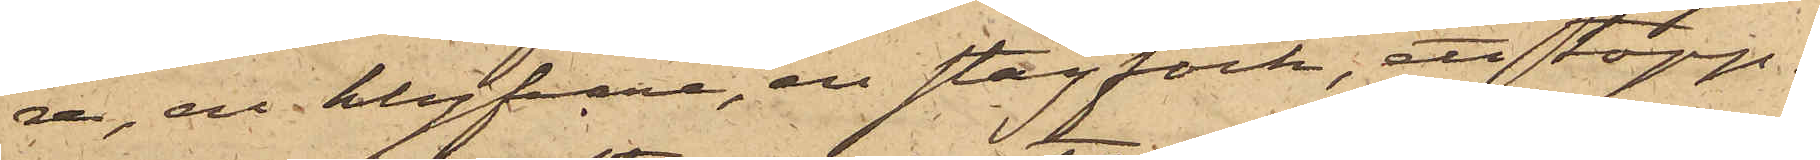re, en klyfvare, en stagfock, ett topp¬
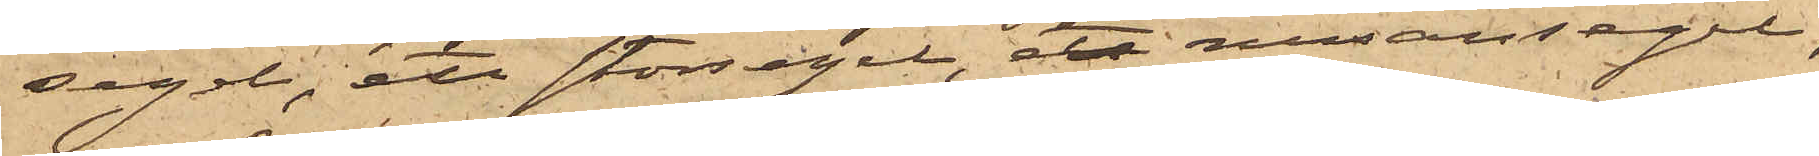segel, ett storsegel, ett mesansegel,
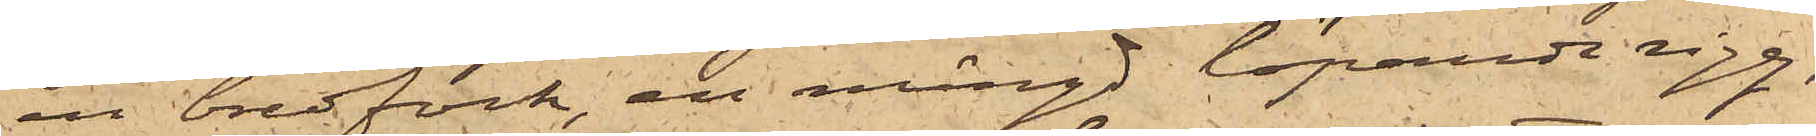en bredfock, en mängd löpande rigg,
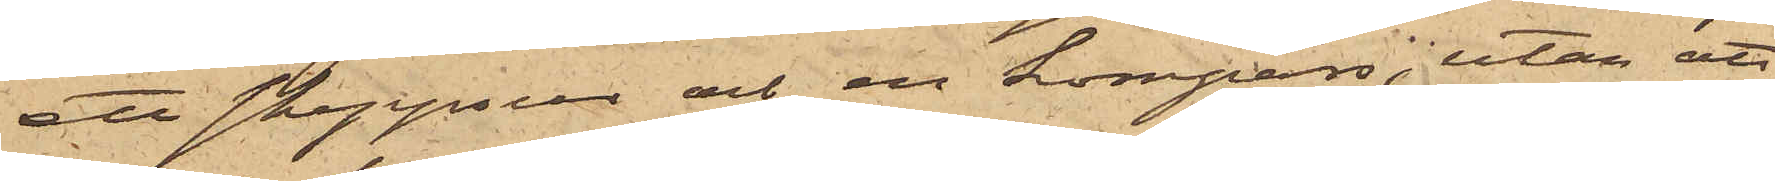ett skeppsur och en kompass, utan att
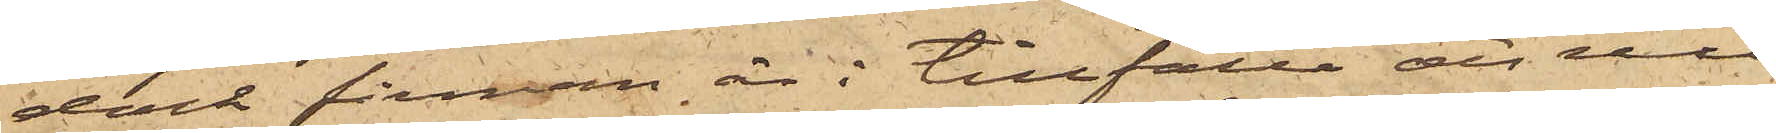dock firman är i tillfälle att nu
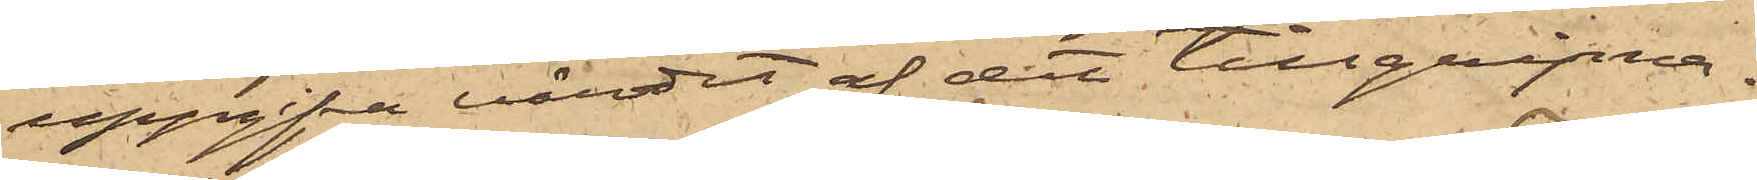uppgifva värdet af det tillgripna.
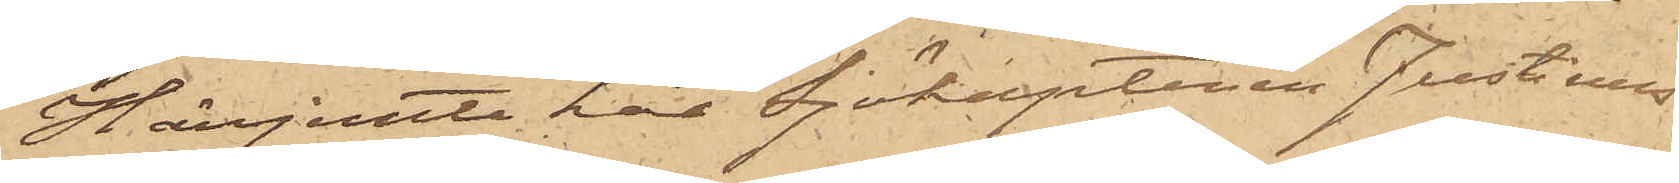Härjemte har Sjökaptenen Justinus
